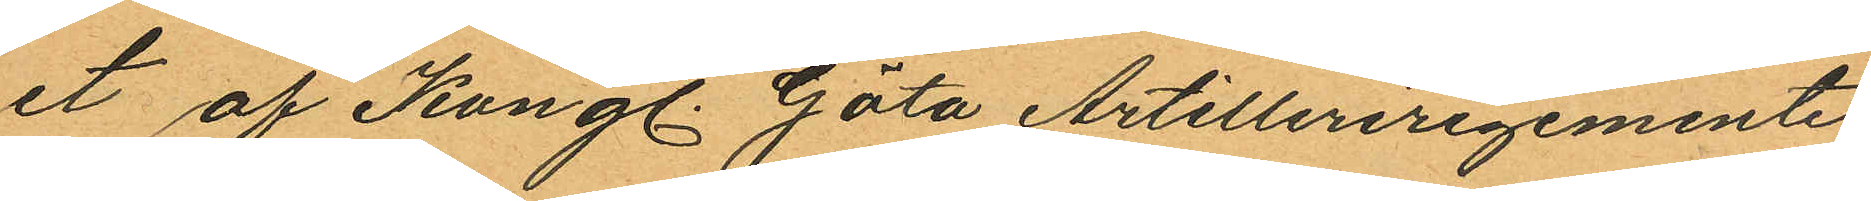et af Kungl. Göta Artilleriregemente
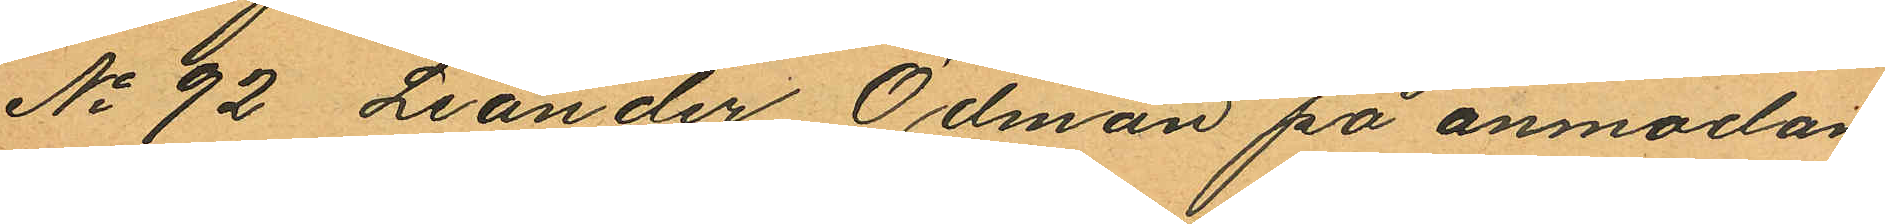No 92 Leander Ödman på anmodan
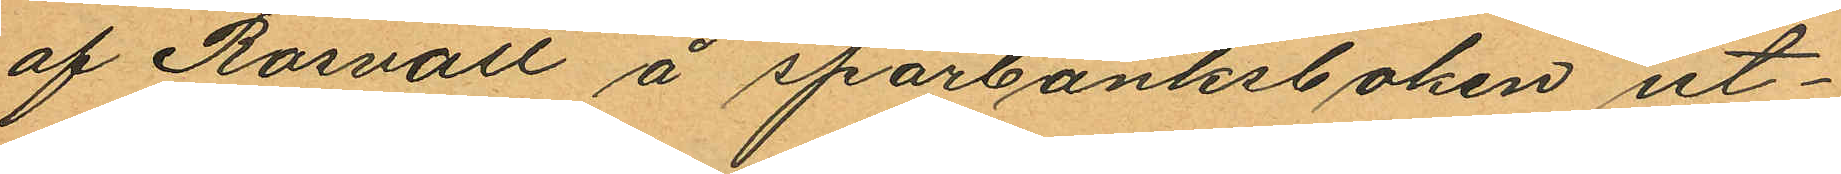af Rosvall å sparbanksboken ut¬
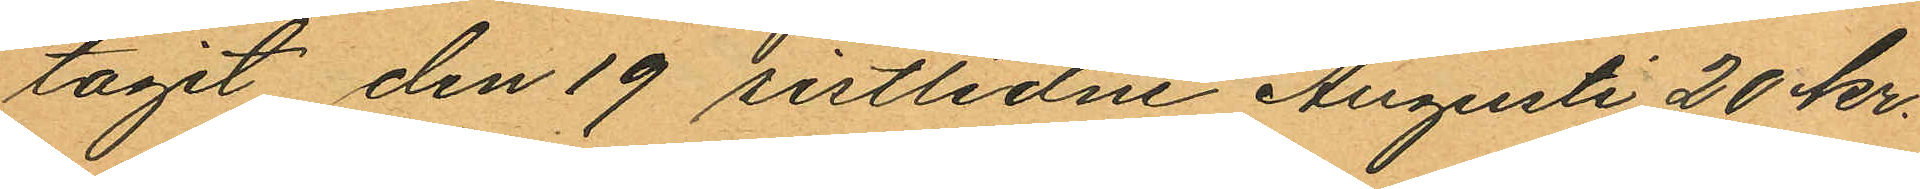tagit den 19 sistlidne Augusti 20 kr.
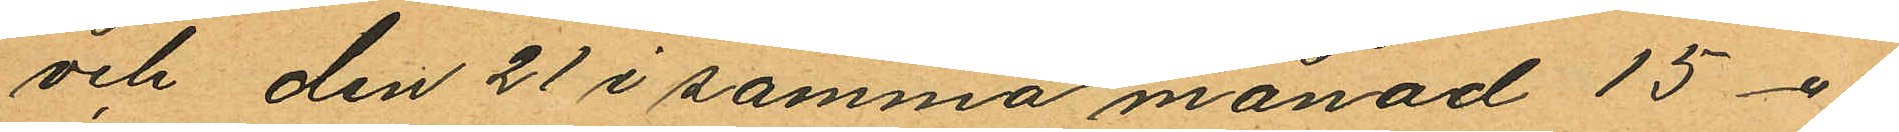och den 21 i samma månad 15 -"-
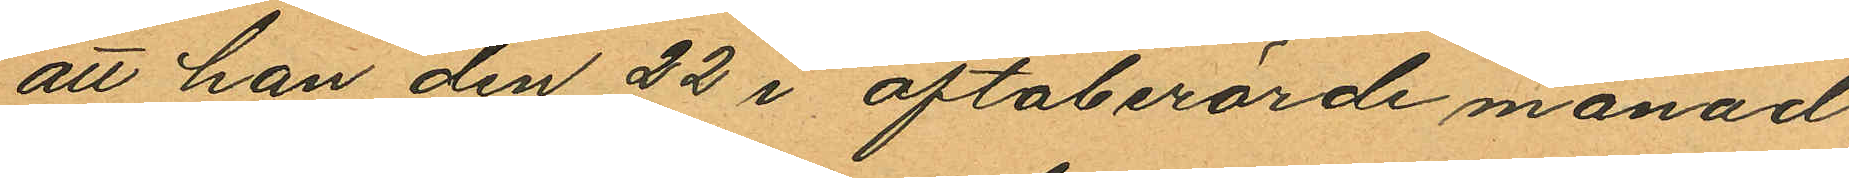att han den 22 i oftaberörde månad
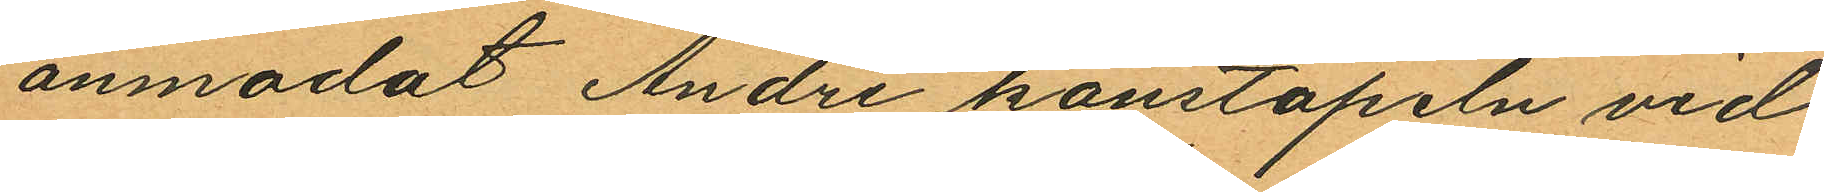anmodat Andre konstapeln vid
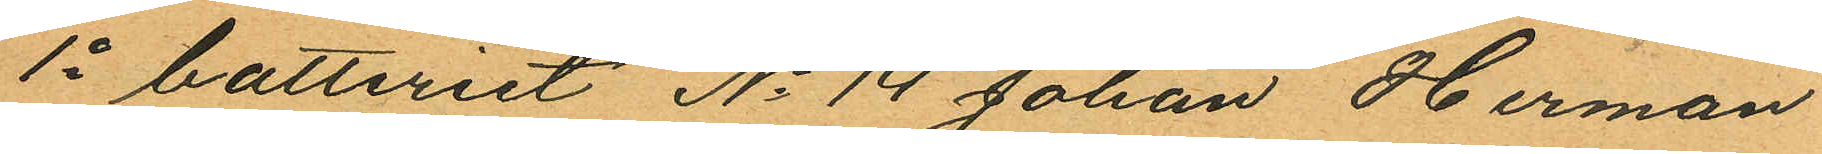1o batteriet No 14 Johan Herman
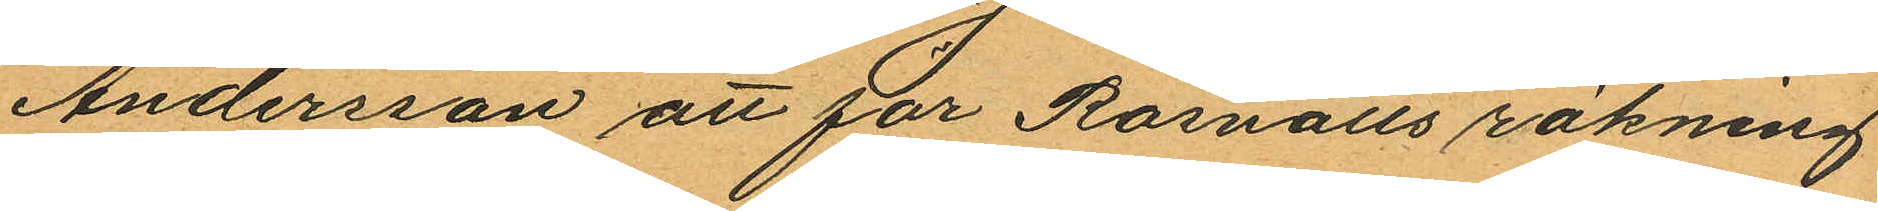Andersson att för Rosvalls räkning
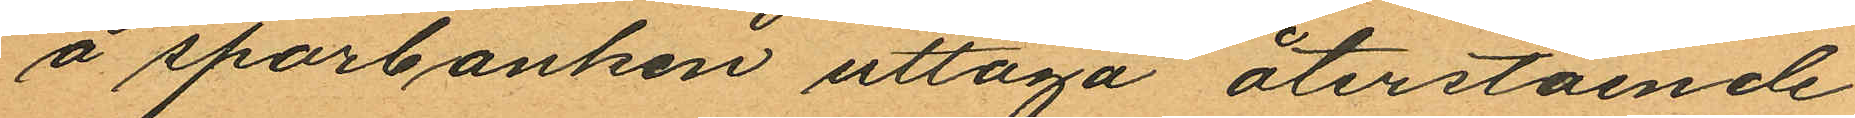å sparbanken uttaga återstående
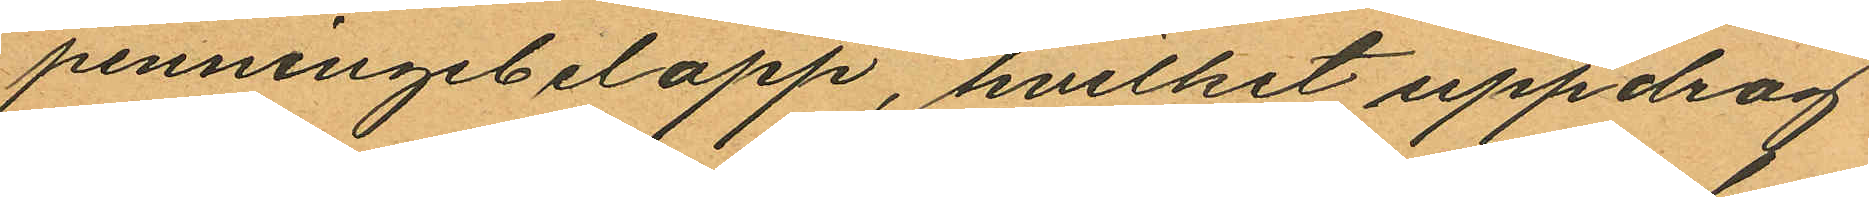penningebelopp, hvilket uppdrag
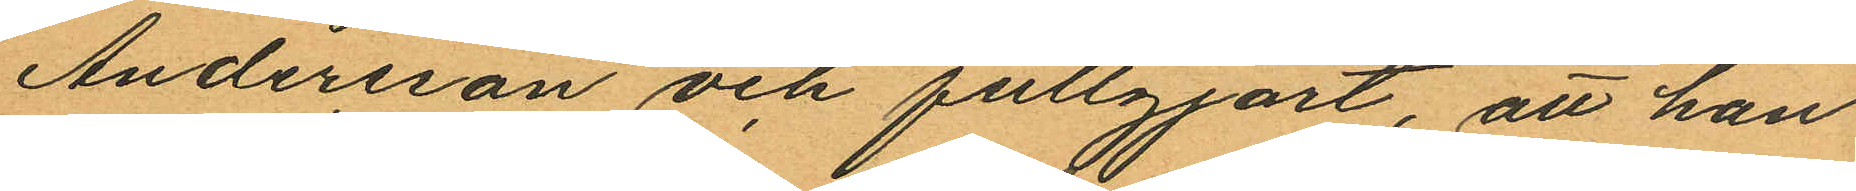Andersson och fullgjort, att han
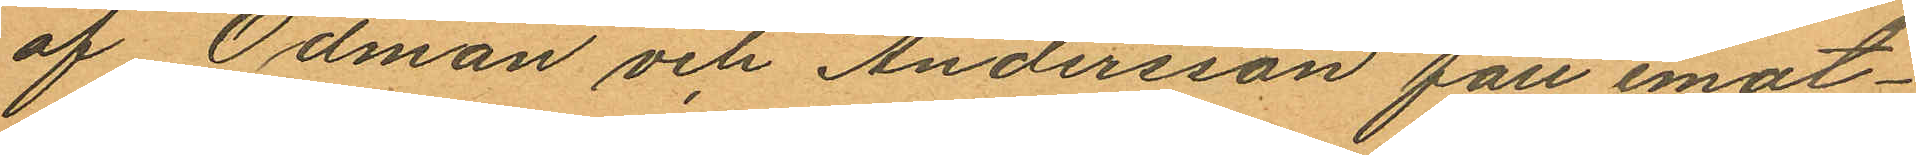af Ödman och Andersson fått emot¬
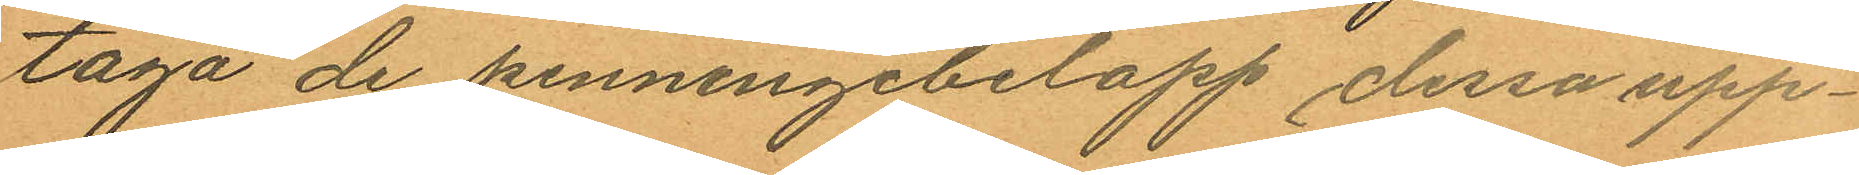taga de penningebelopp dessa upp¬
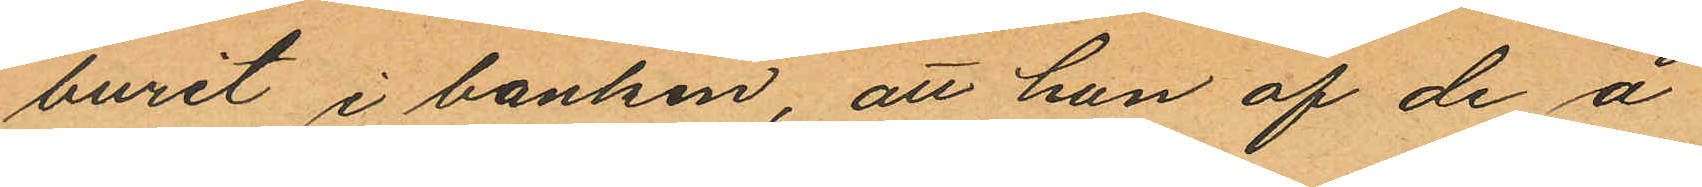burit i banken, att han af de å
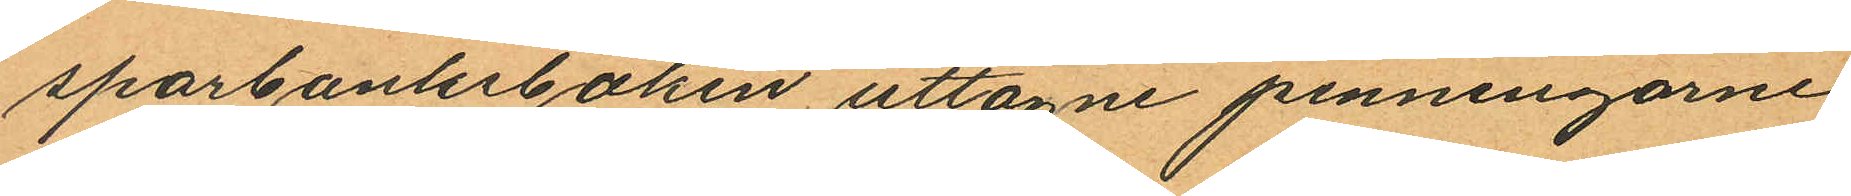sparbanksboken uttagne penningarne
